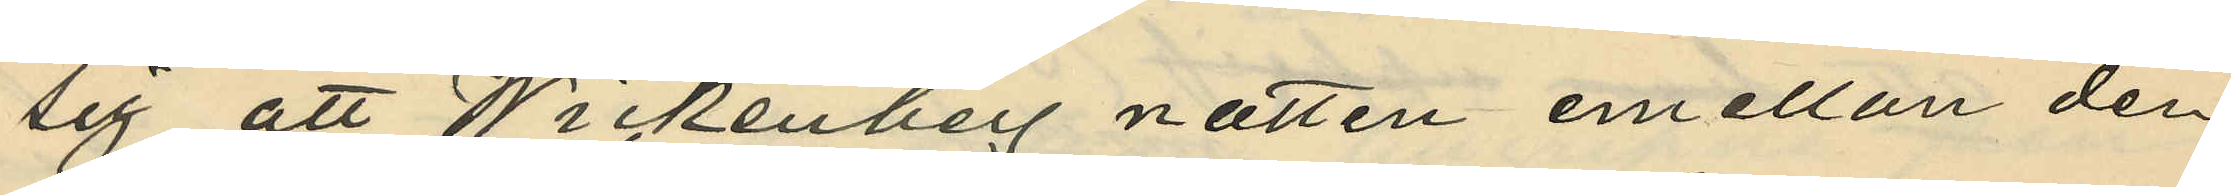sig att Wickenberg natten emellan den
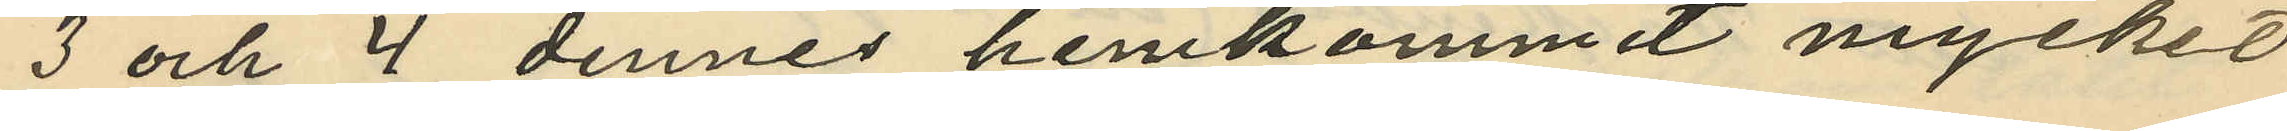3 och 4 dennes hemkommit mycket
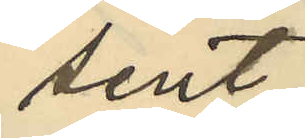sent;
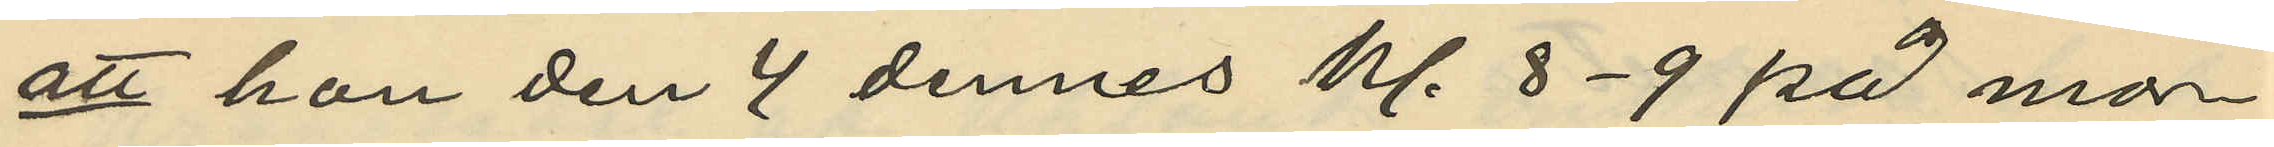att han den 4 dennes kl. 8-9 på mor¬
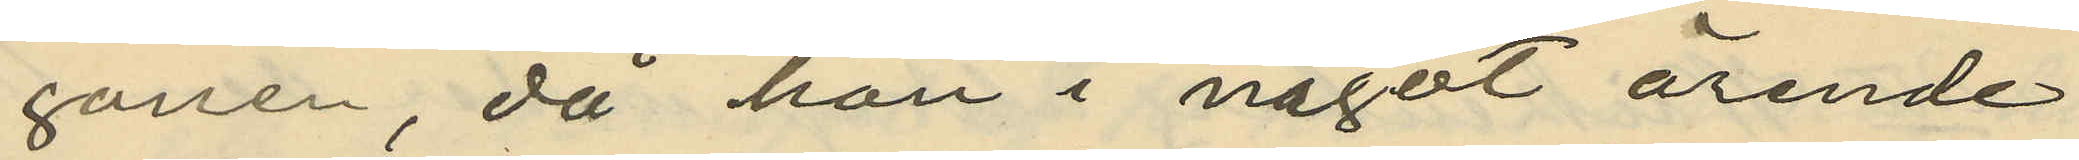gonen, då han i något ärende
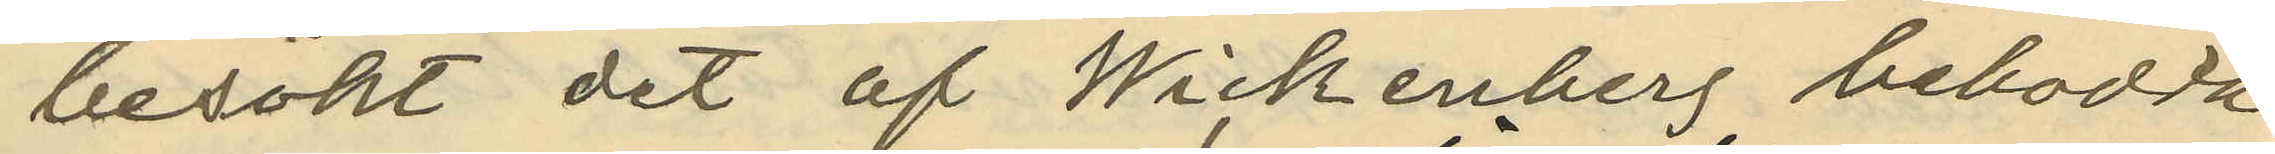besökt det af Wickenberg bebodda
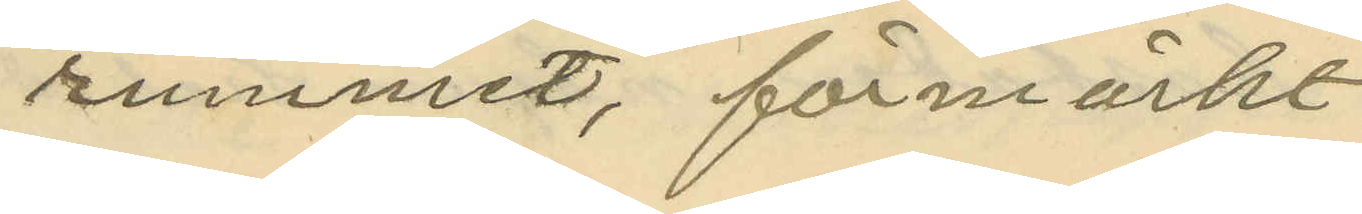rummet, förmärkt
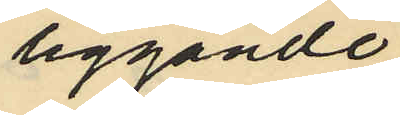liggande
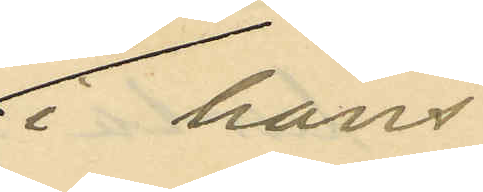i hans
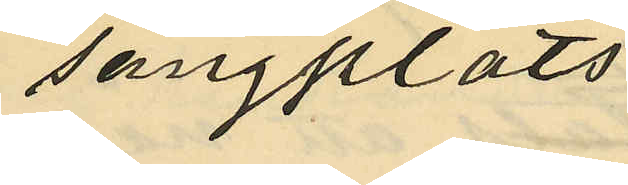sängplats
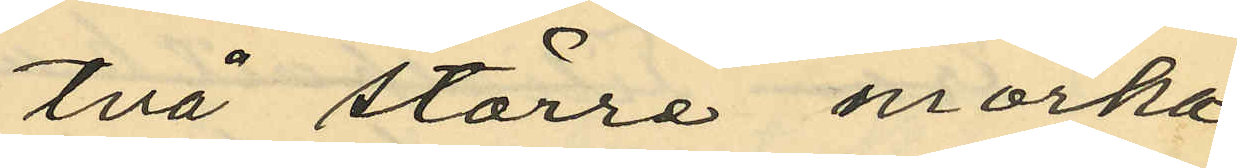två större mörka
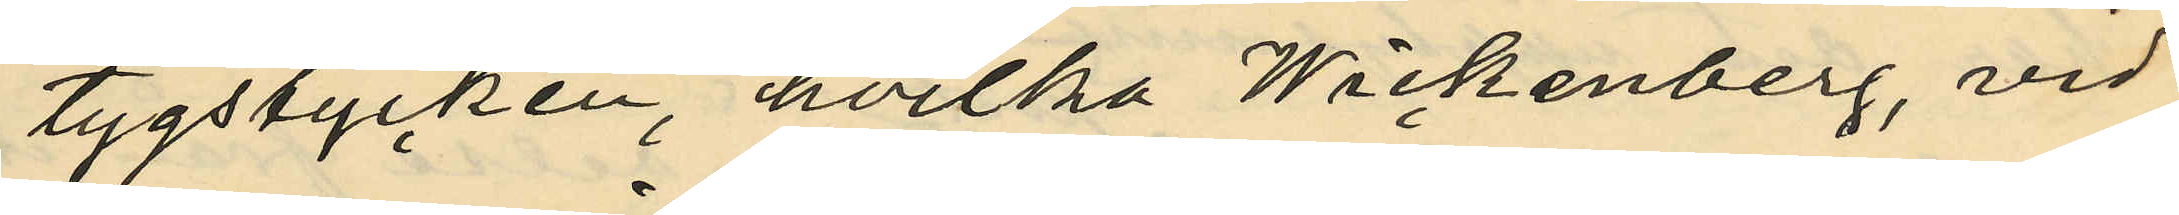tygstycken, hvilka Wickenberg, vid
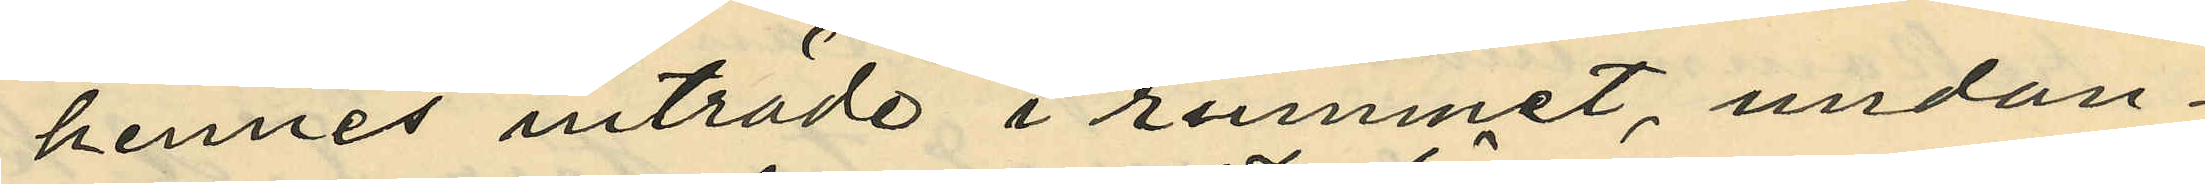hennes inträde i rummet, undan¬
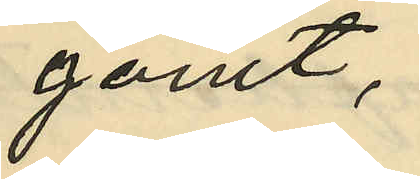gömt,
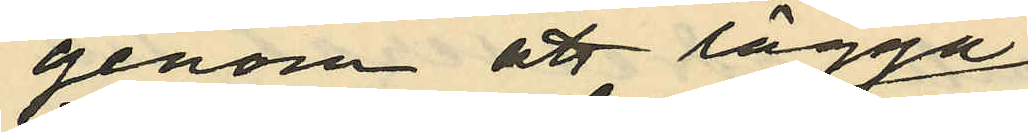genom att lägga
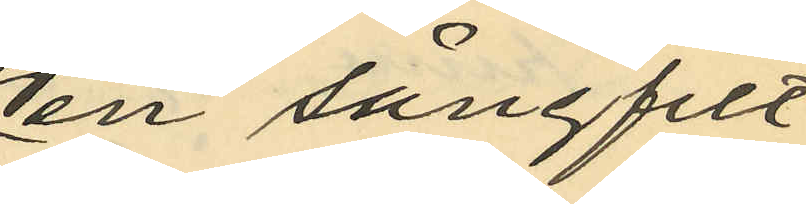en sängfilt
